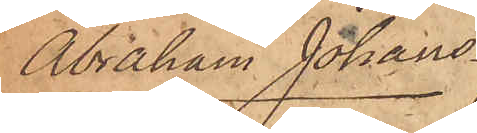Abraham Johans¬
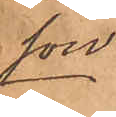son.
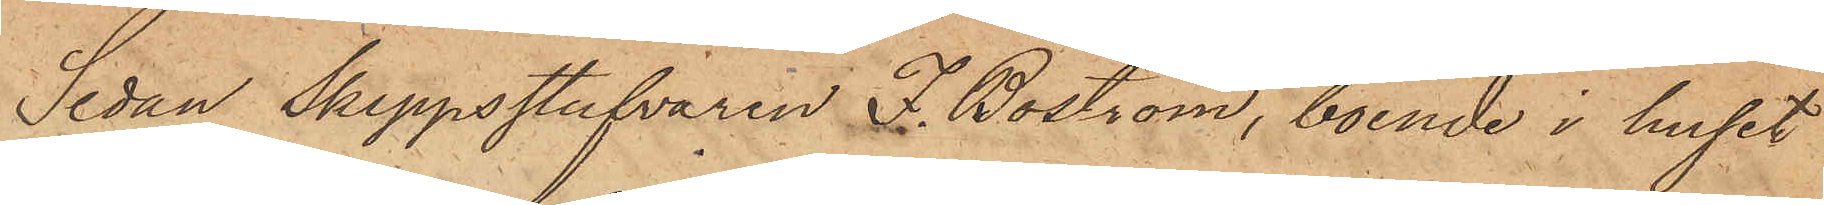Sedan Skeppsstufvaren J. Boström, boende i huset
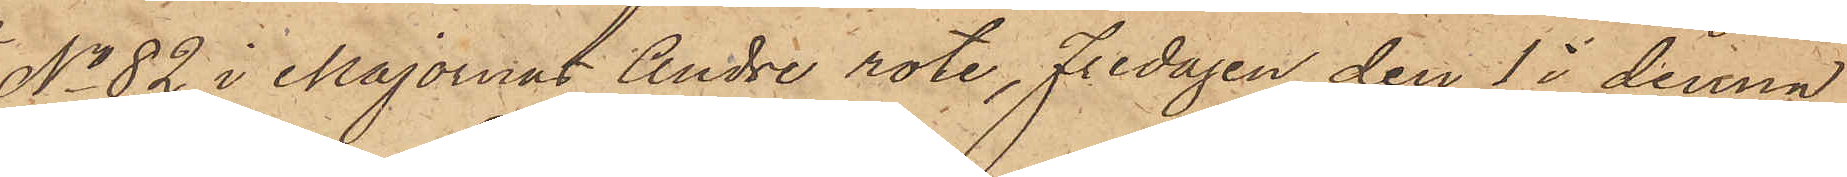No 82 i Majornas Andre rote, Fredagen den 1 i denna
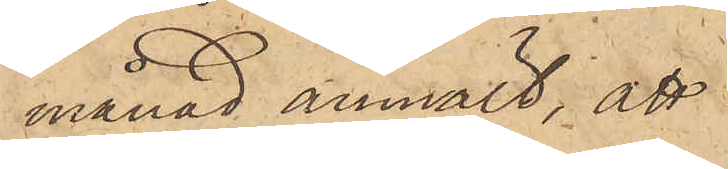månad anmält, att
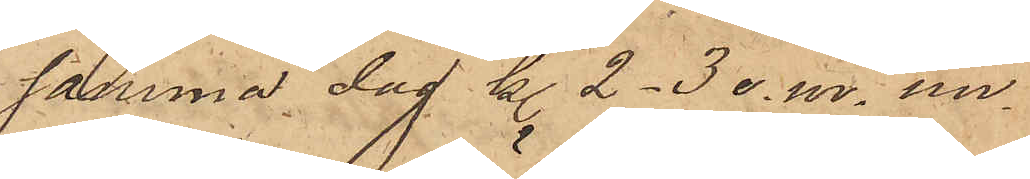samma dag kl. 2-3 e.m. un¬
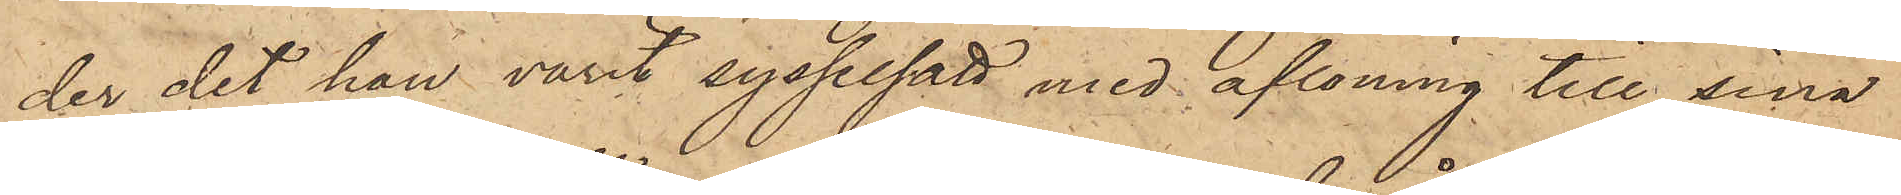der det han varit sysselsatt med aflöning till sina
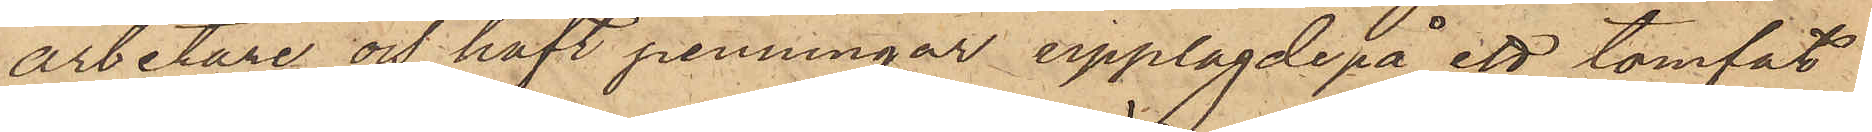arbetare och haft penningar upplagde på ett tomfat
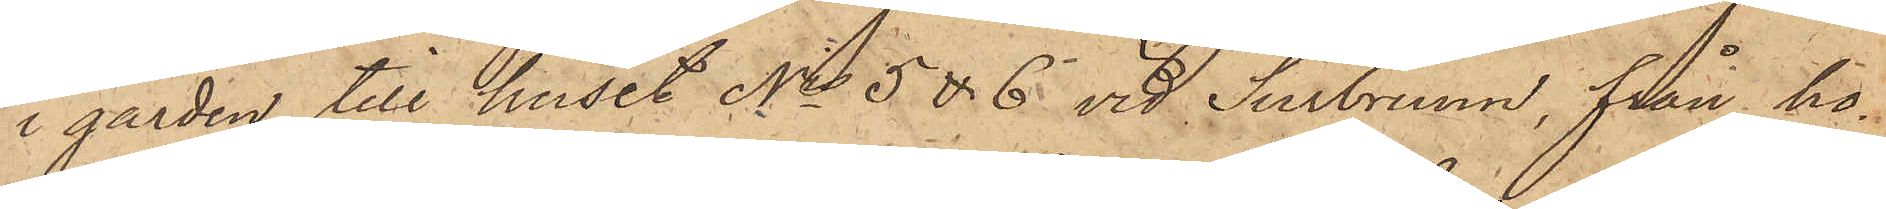i gården till huset Nris 5 & 6 vid Surbrunn, från ho¬
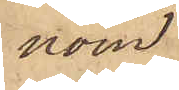nom
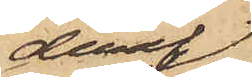deraf
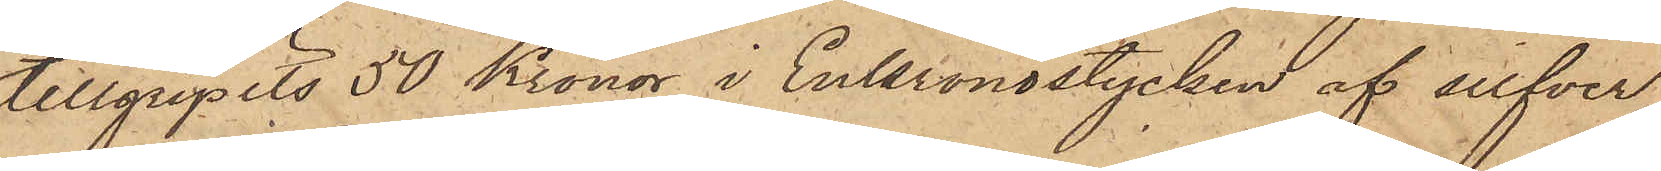tillgripits 50 Kronor i Enkronostycken af silfver,
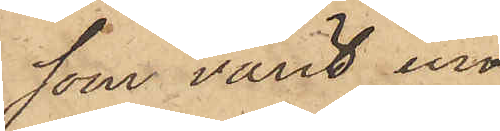som varit in¬
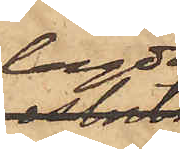lagde
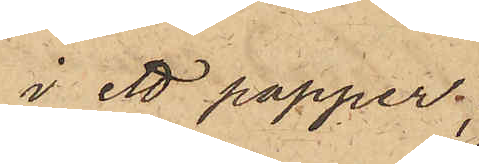i ett papper;
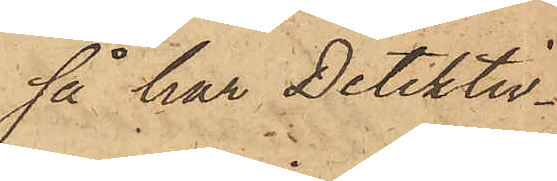så har Detektiv¬
